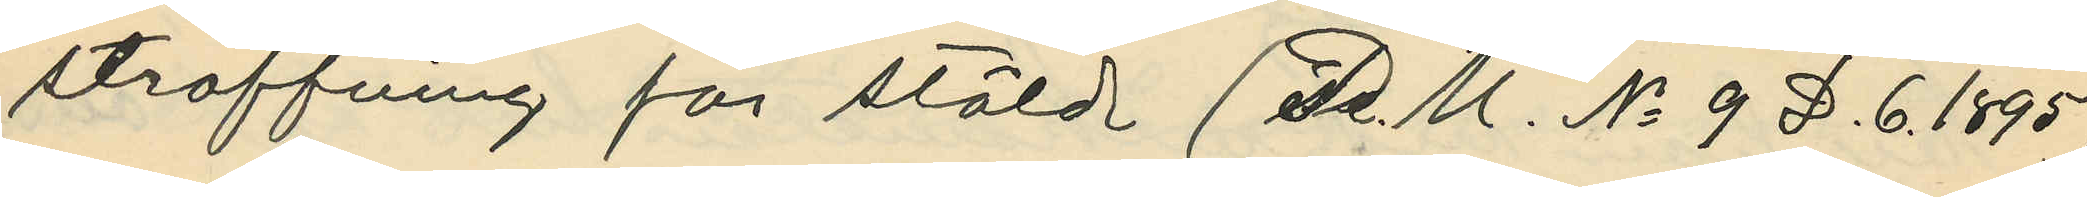straffning för stöld (P. U. No 9 D. 6. 1895)
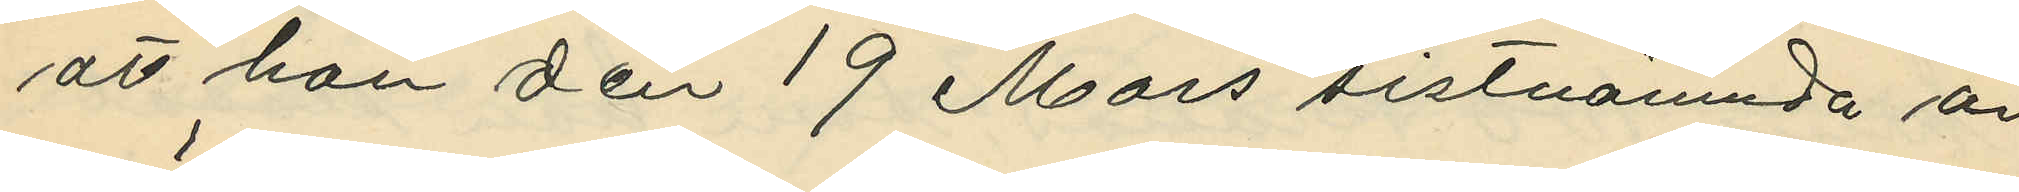att han den 19 Mars sistnämnda år
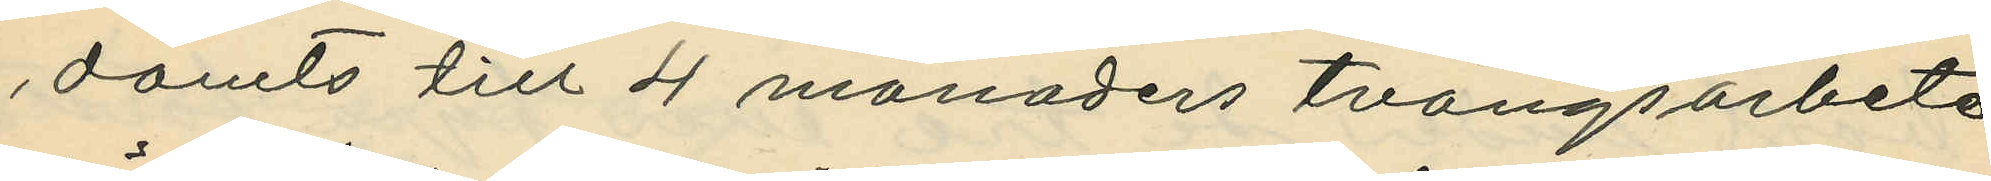dömts till 4 månaders tvångsarbete
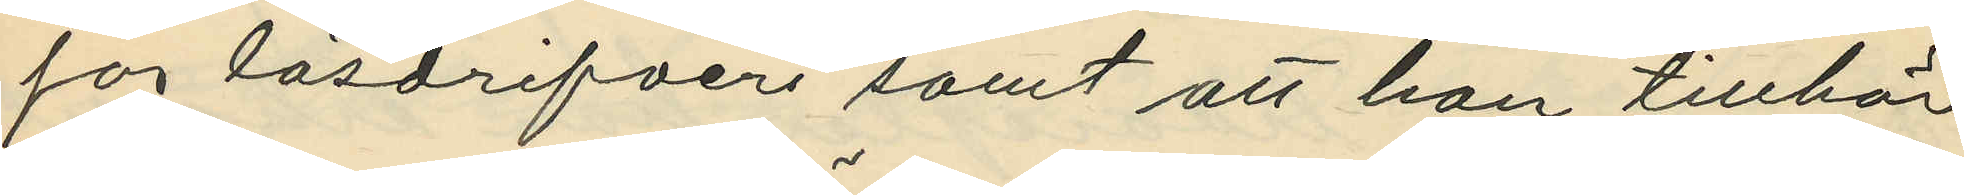för lösdrifveri samt att han tillhör
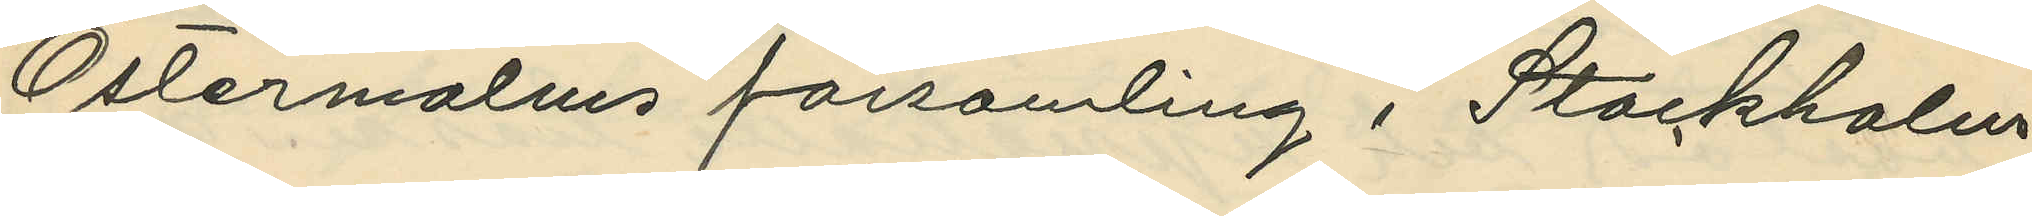Östermalms församling i Stockholm
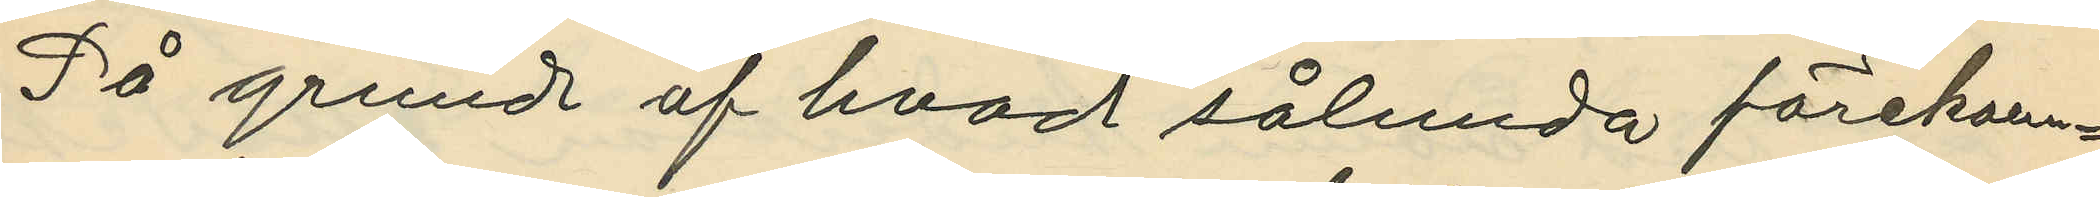På grund af hvad sålunda förekom¬
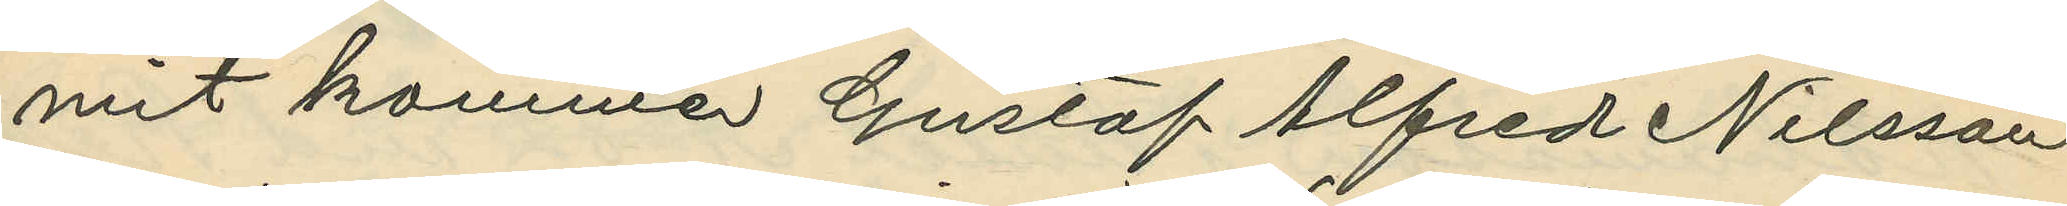mit kommer Gustaf Alfred Nilsson
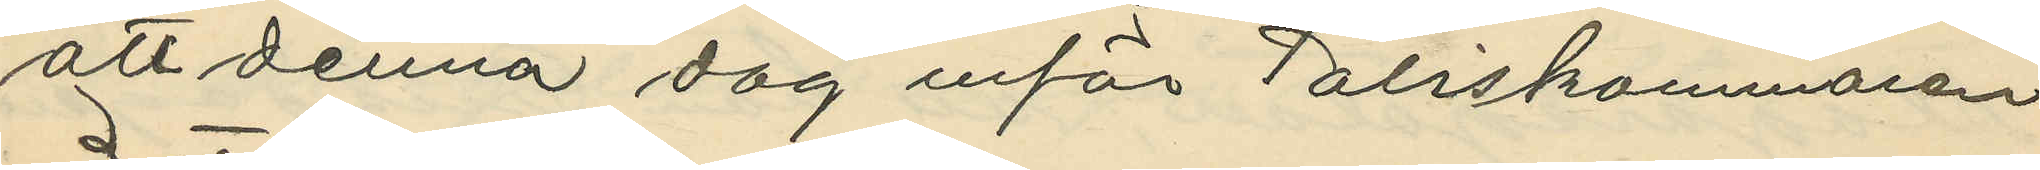att denna dag inför Poliskammaren
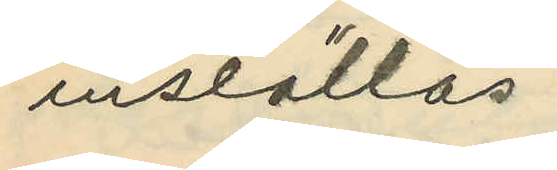inställas.
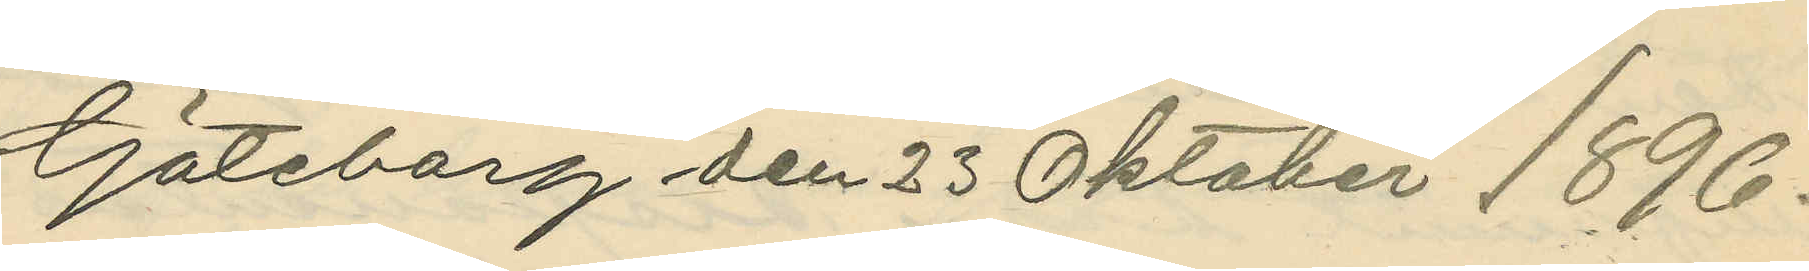Göteborg den 23 Oktober 1896.
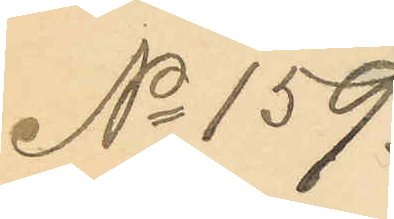No 159.
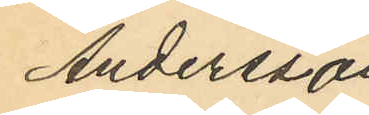Andersson
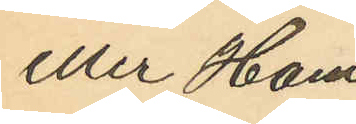eller Ham
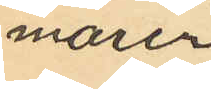marén
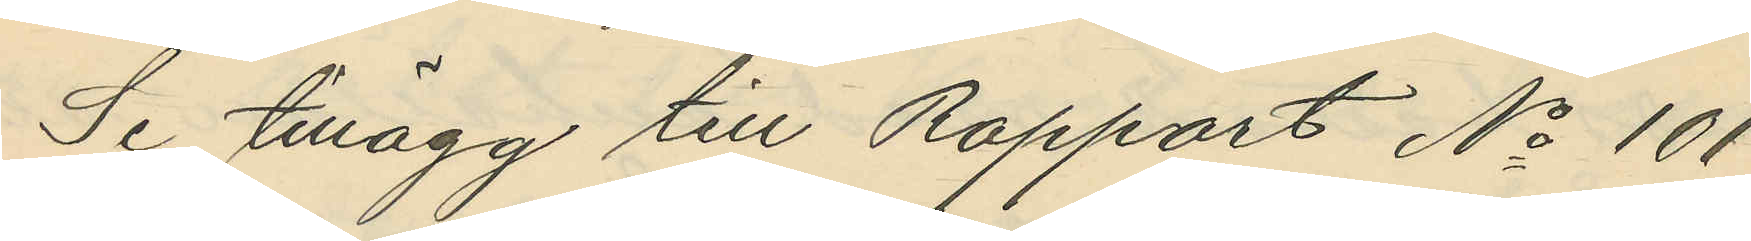Se tillägg till Rapport No 101
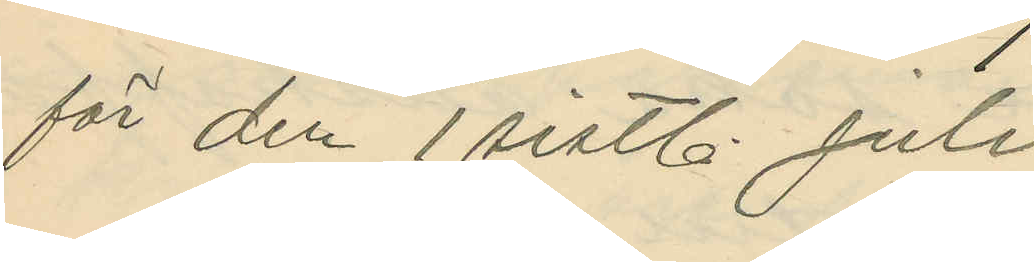för den 1 sistl. Juli
